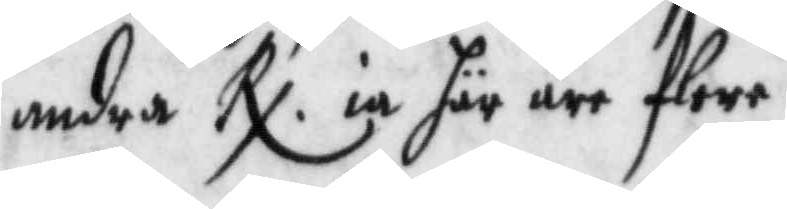andra Rx ia här äre flere.
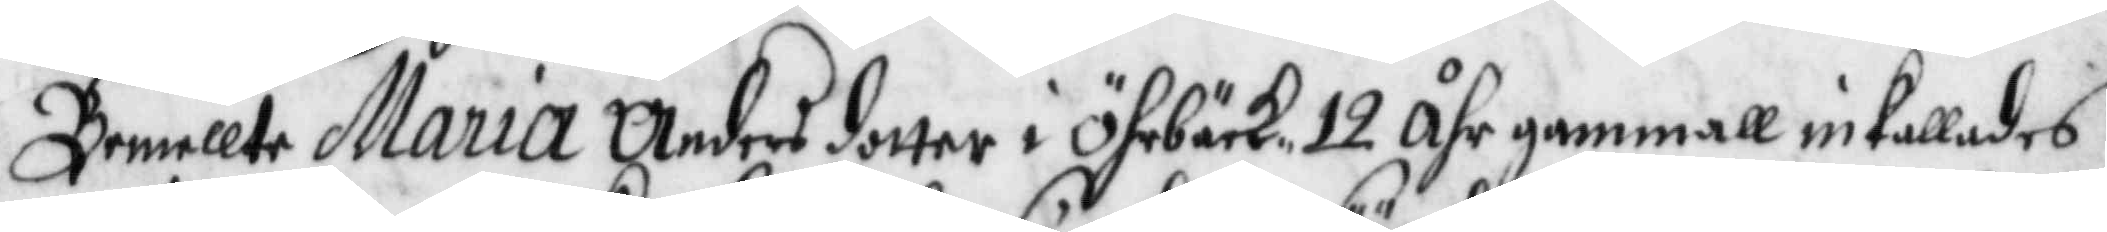Bemellte Maria Andersdotter i Öhrbäck 12 åhr gammall inkallades
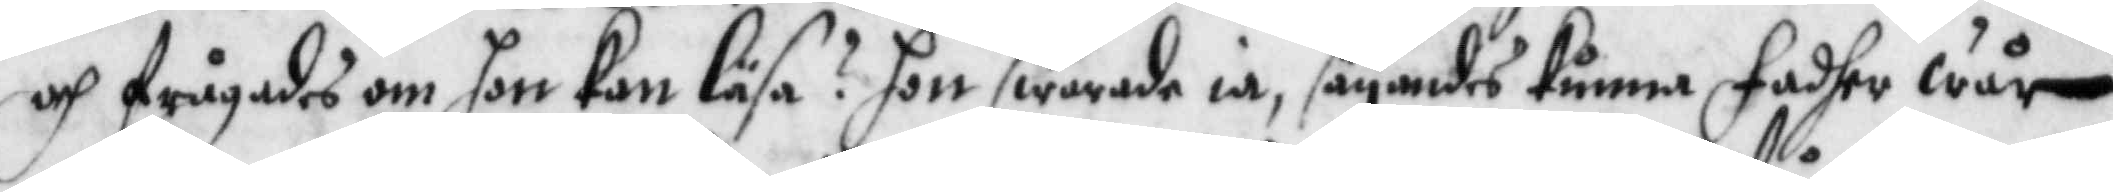och frågades om hon kan läsa? Hon swarade ia, säynades kuna Fadher wår
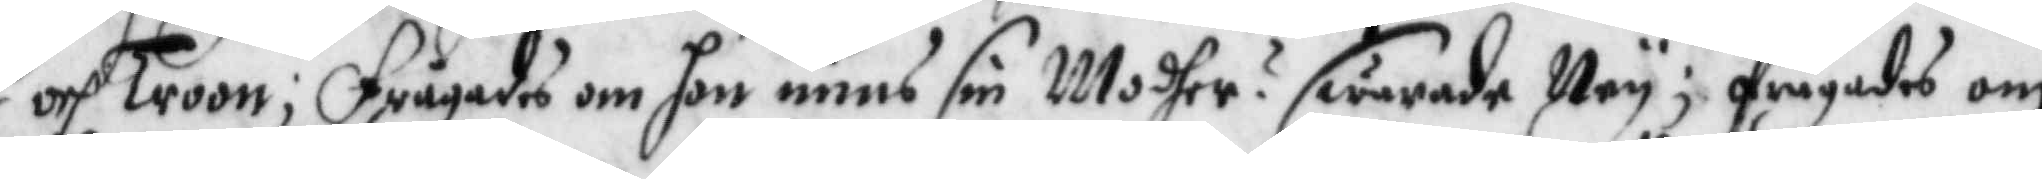och Troon; Frågades om hon mins sin Modher? swarade Ney; frågades om
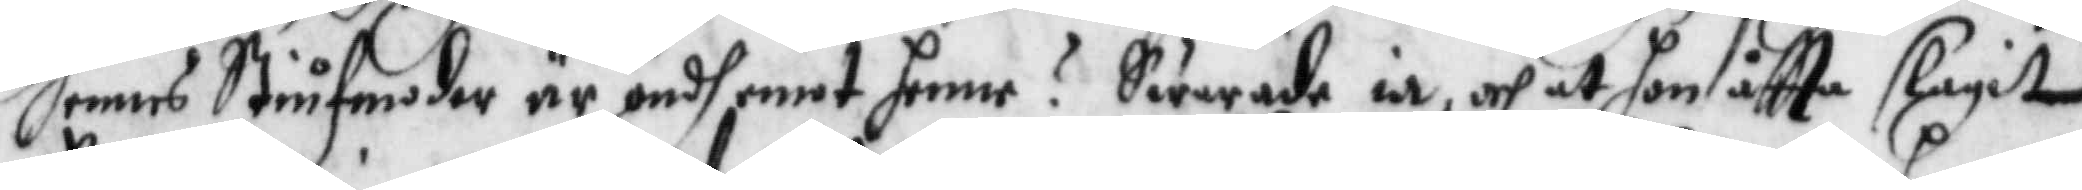hennes Stiufmoder är ondh emot henne? Swarade ia, och at hon oftta slagit
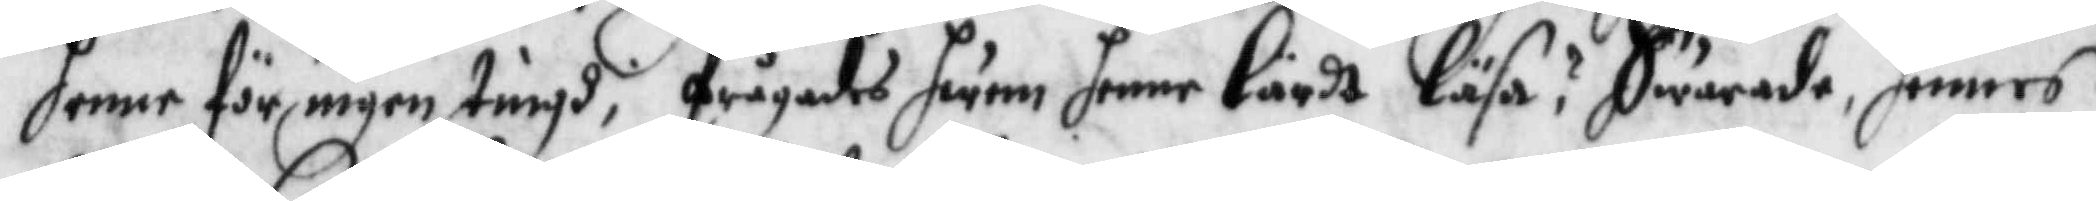henne för ingen tingh, Frågades hwem henne lärdt läsa? Swarade, hennes
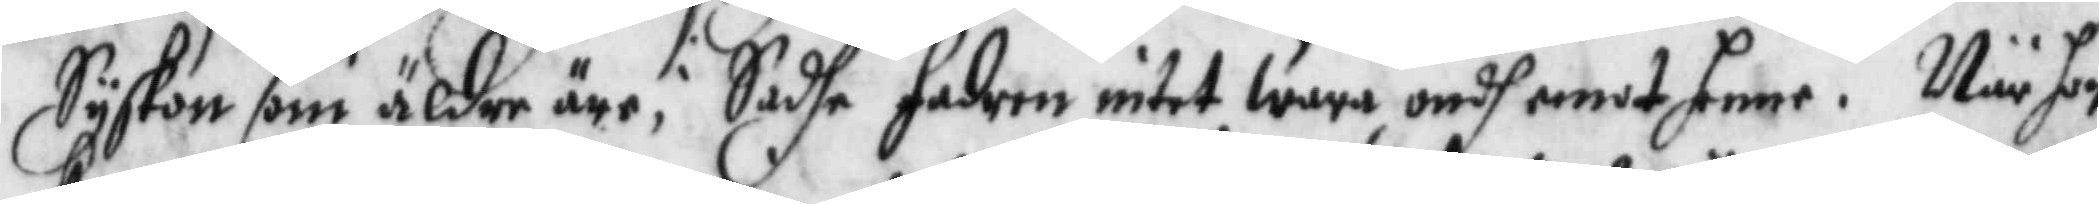Syskon som äldre äre, Sadhe fadern intet wara ondh emot henne. När hon
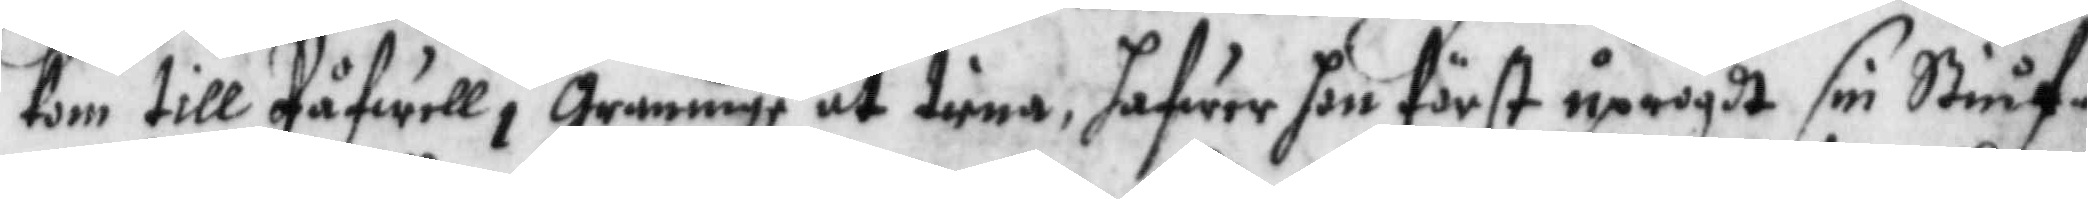kom till Påfwell i grannige at tiena, hafwer hon först uprögdt sin Stiuf¬
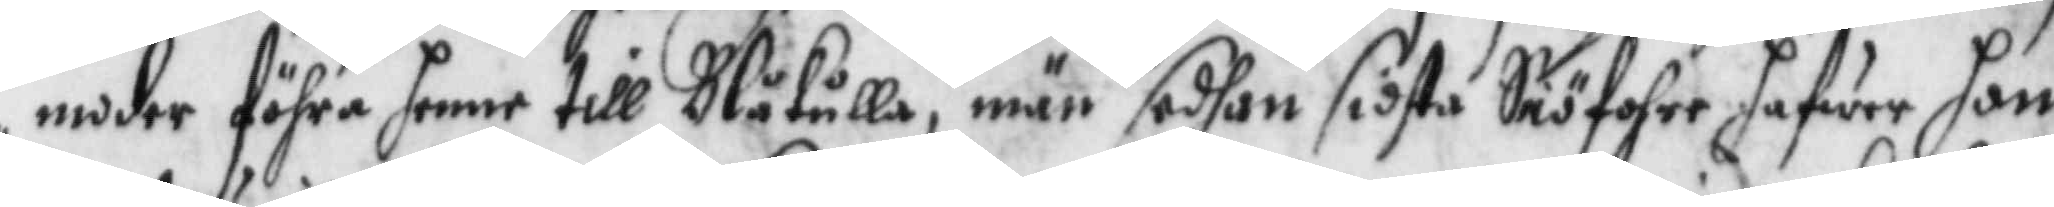moder föhra henne till Blåkulla, när sedhan sidsta Siöfohre hafwer hon
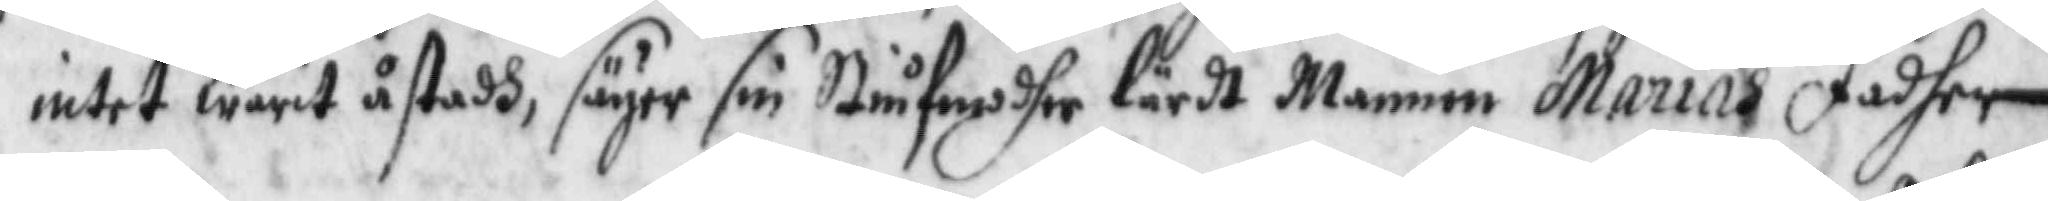intet warit åstadh, säyer sin stiufmodher lärdt Mannen Marias Fadher
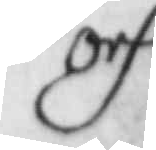och
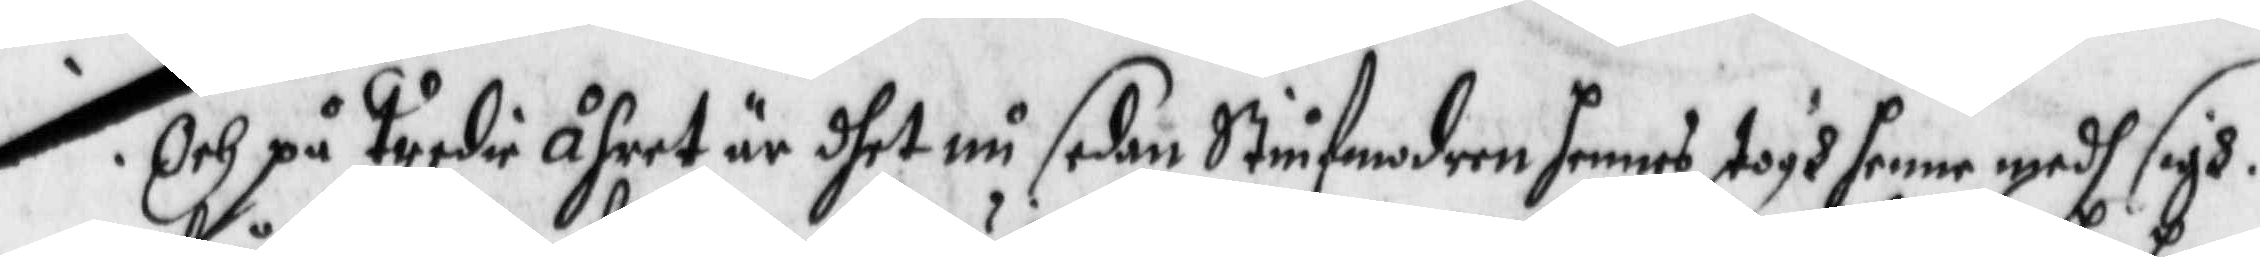Och på Tredie åhret är dhet nu sedan Stiufmodren hennes Togh henne medh sigh.
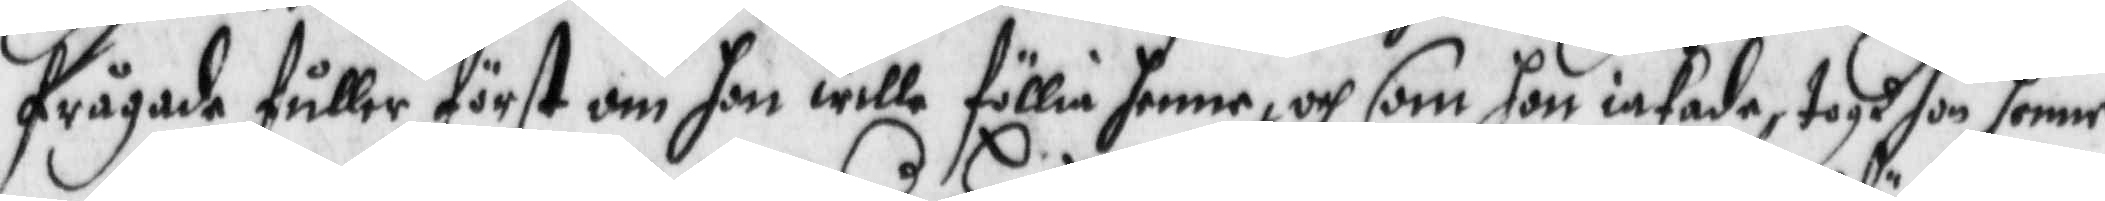frågade fuller först om hon wille föllia henne, och som hon intade, togh hon henne
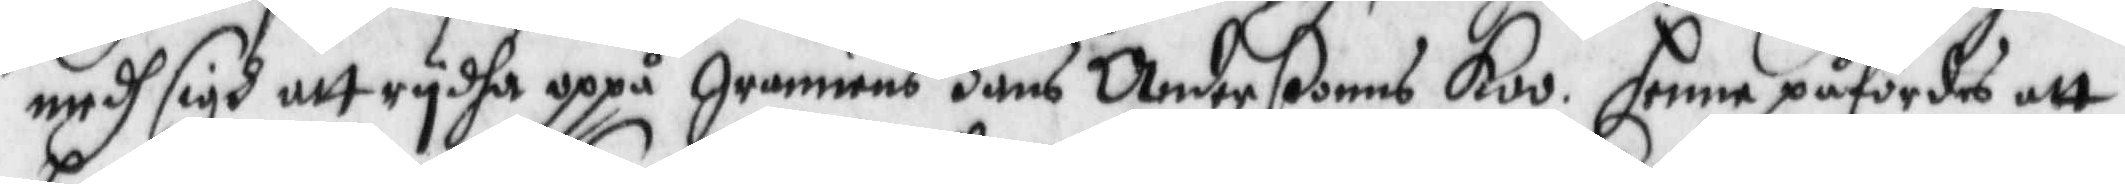medh sigh att rydha uppå grannens Hans Anderßons Koo, henne påfördes att
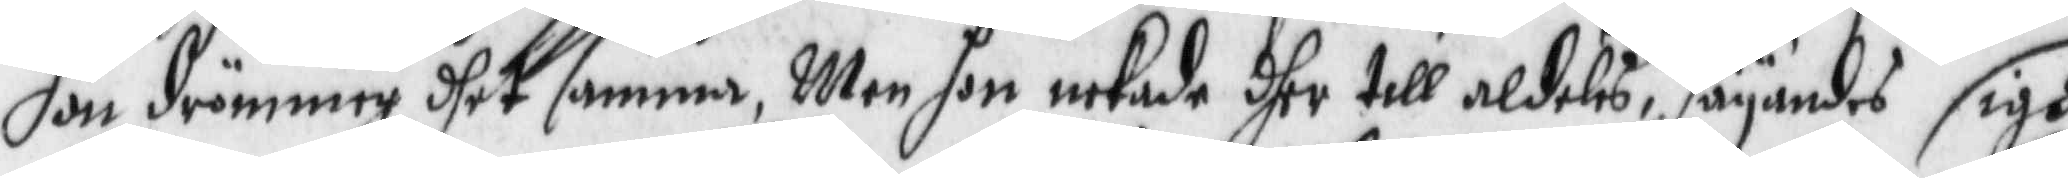hon drömmer dhet samma, Men hon nekade dher till aldeles, säyandes sigh
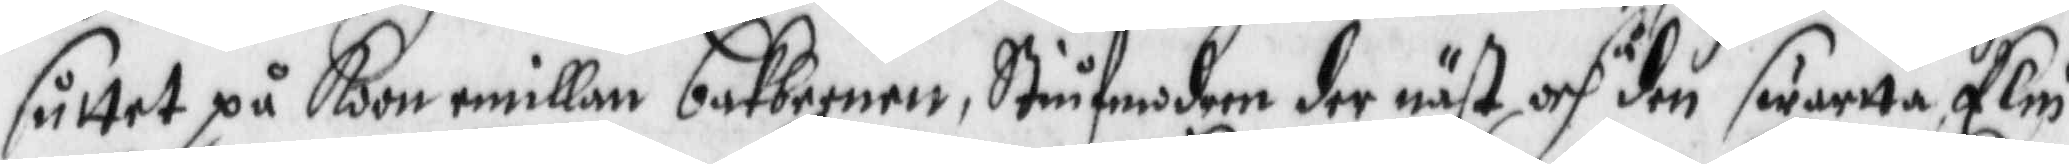sutter på Koon emillan bakbeenen, Stiufmodern der näst och så den swarttaElin
